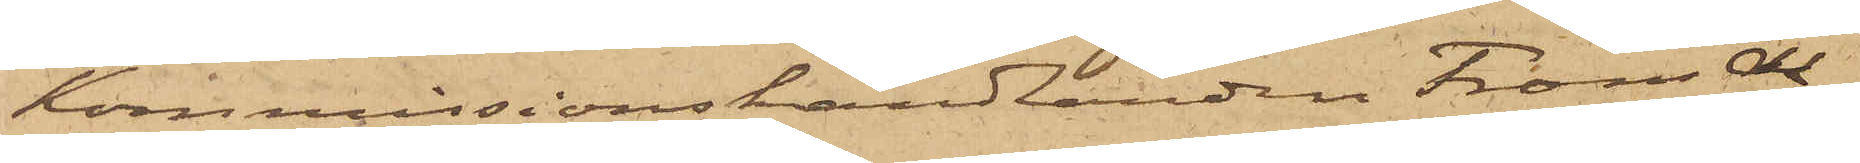Kommissionshandlanden Frans Al¬
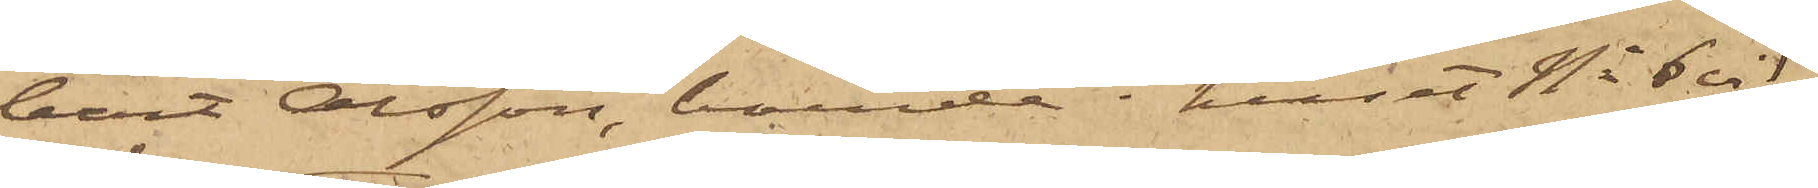bert Olsson, boende i huset No 6 vid
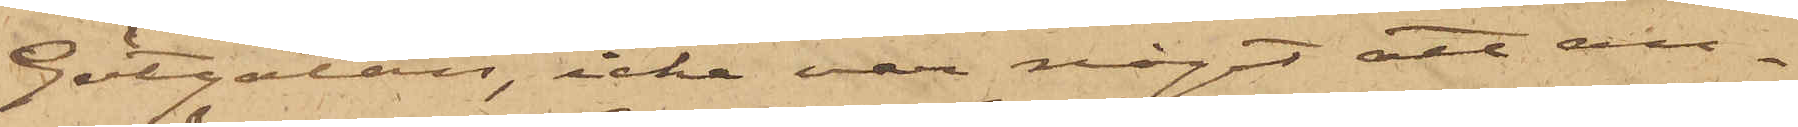Götgatan, icke var något att an¬
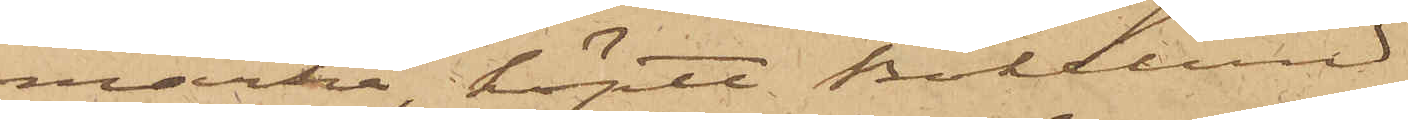märka, köpte Bökelund
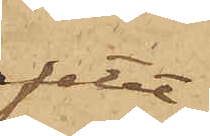fatet
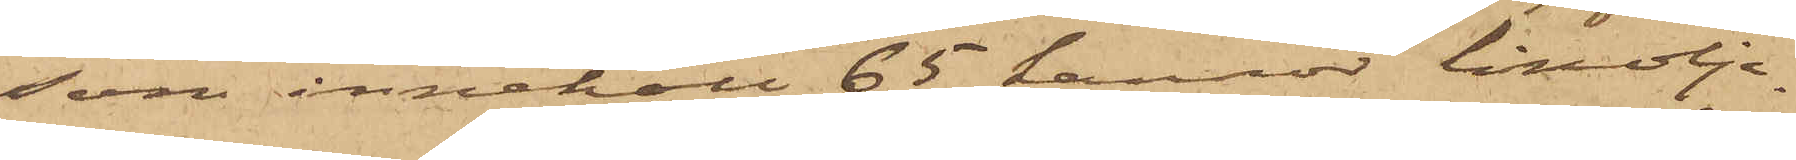som innehöll 65 kannor linolje¬
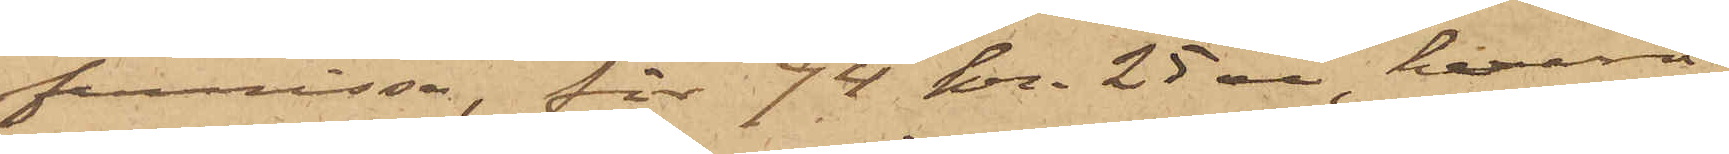fernissa, för 94 kr. 25 öre, hvarå
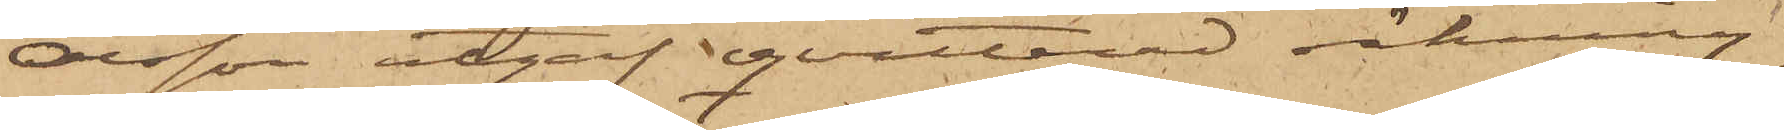Olsson utgaf qvitterad räkning.
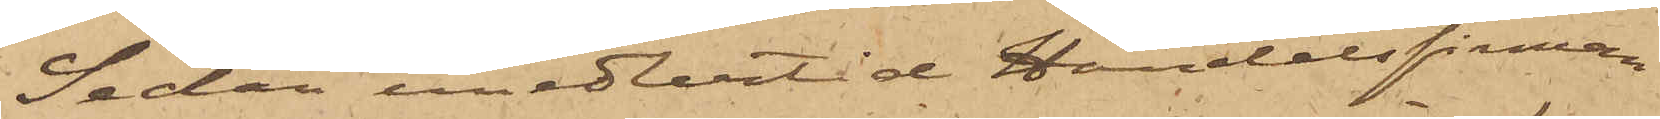Sedan emedlertid Handelsfirman
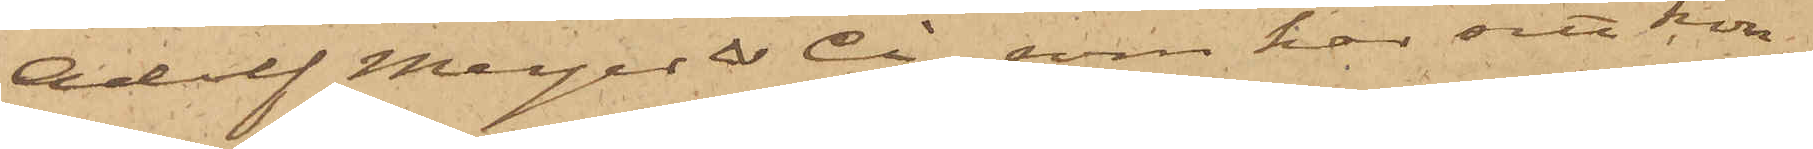Adolf Meyer & Ci, som har sitt kon¬
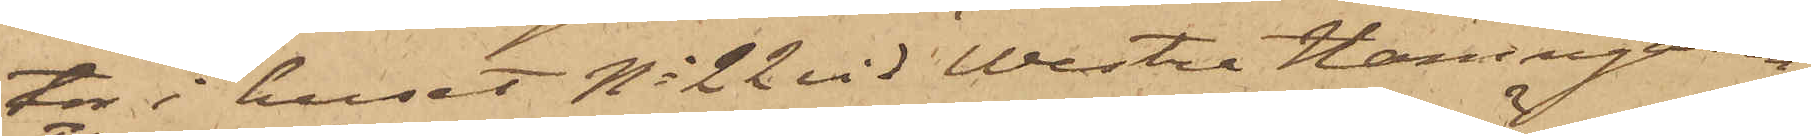tor i huset No 22 vid Westra Hamngatan
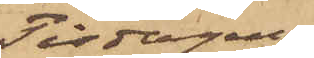Tisdagen
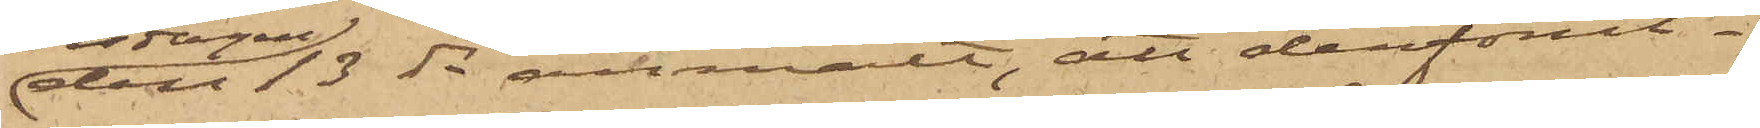den 13 ds anmält, att derförut¬
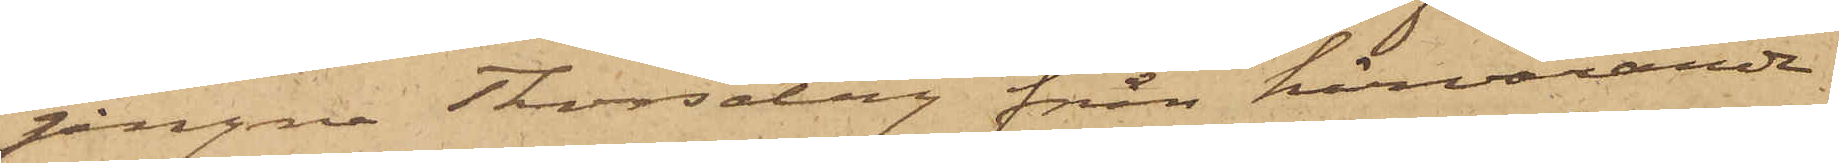gångne Thorsdag från härvarande
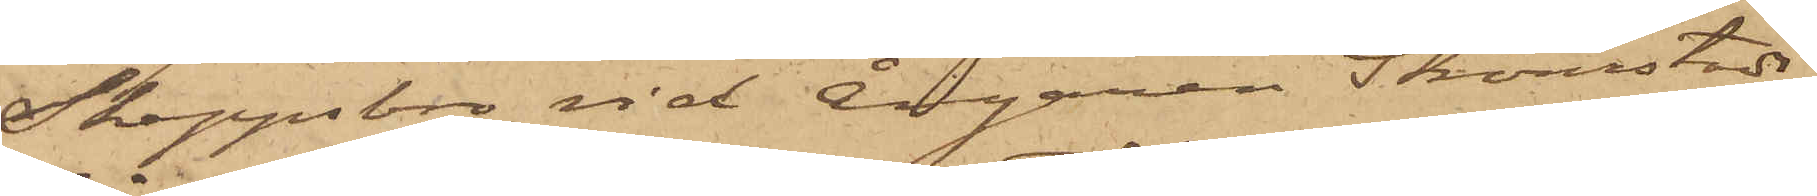Skeppsbro vid Ångaren Strömstads
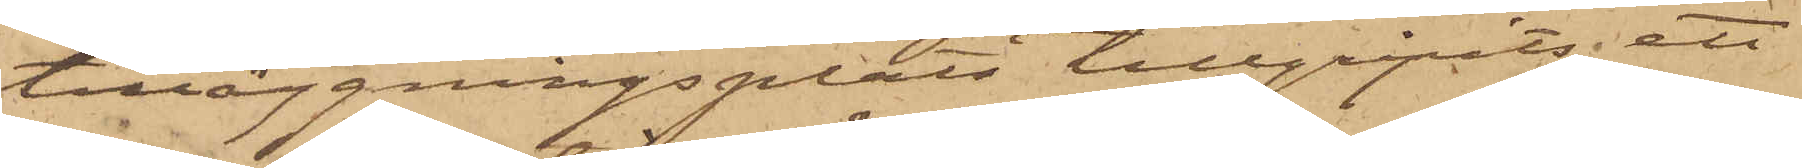tilläggningsplats tillgripits ett
